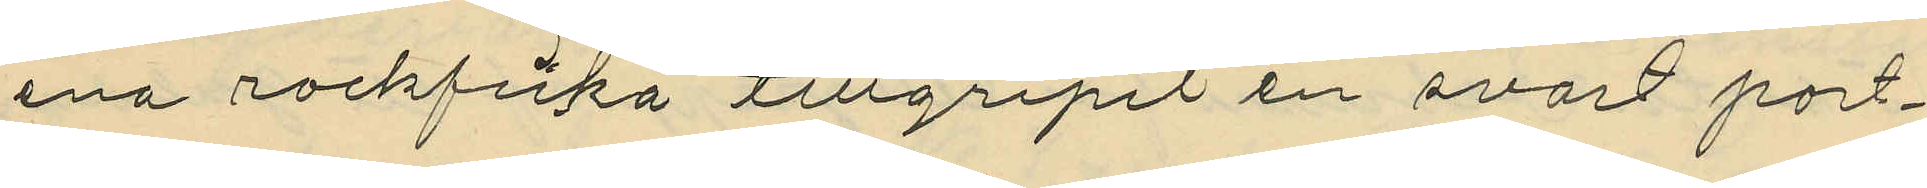ena rockficka tillgripit en svart port¬
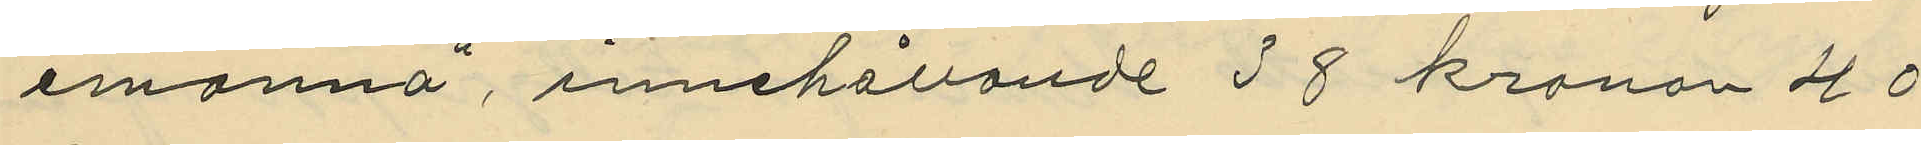emonnä, innehållande 38 kronor 40
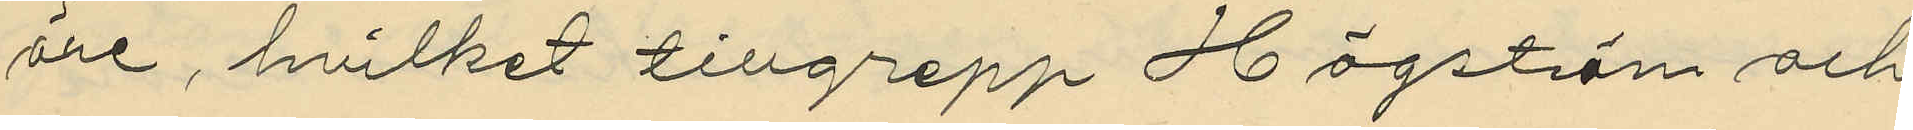öre, hvilket tillgrepp Högström och
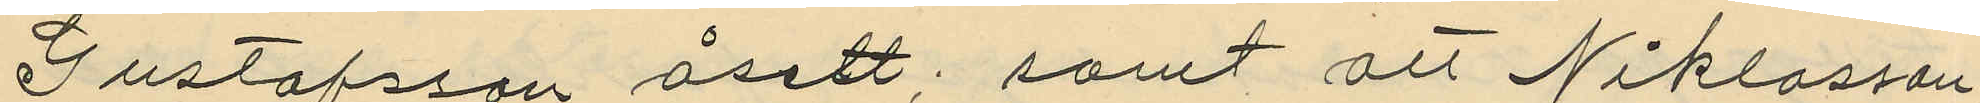Gustafsson åsett; samt att Niklasson,
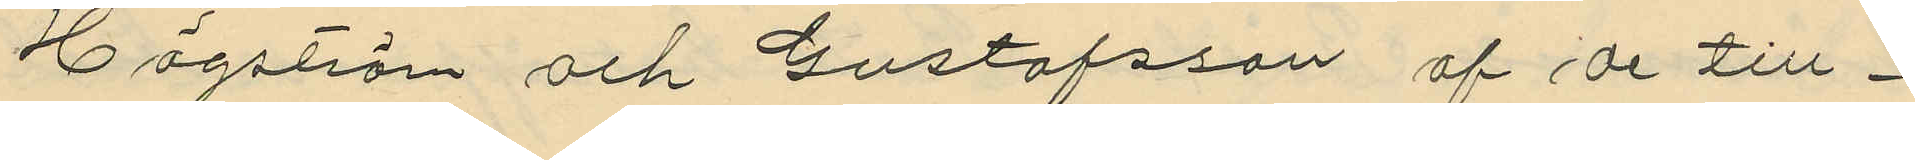Högström och Gustafsson af de till¬
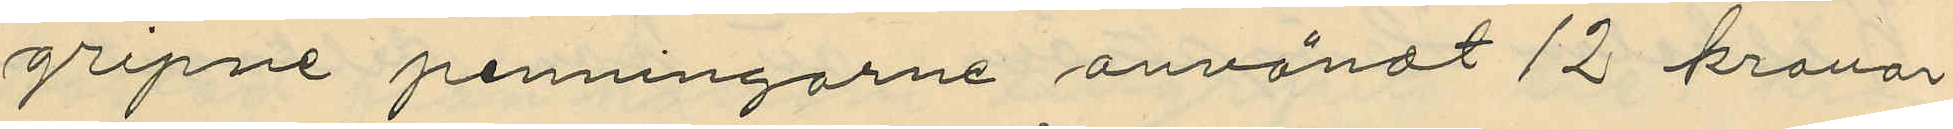gripne penningarne användt 12 kronor
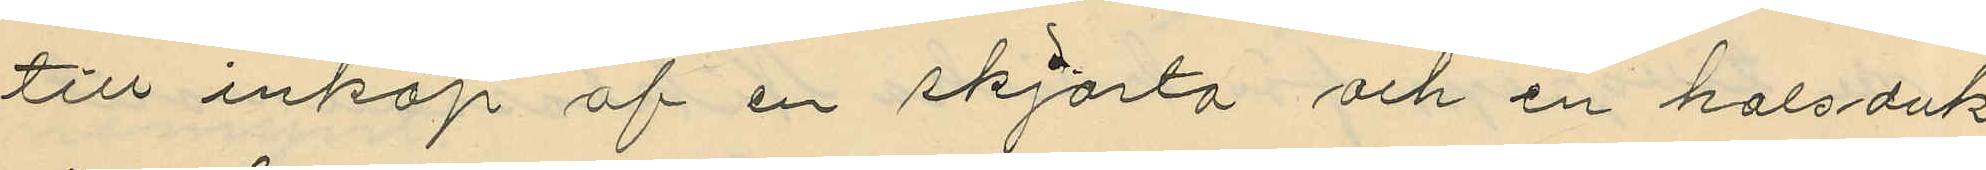till inköp af en skjorta och en halsduk
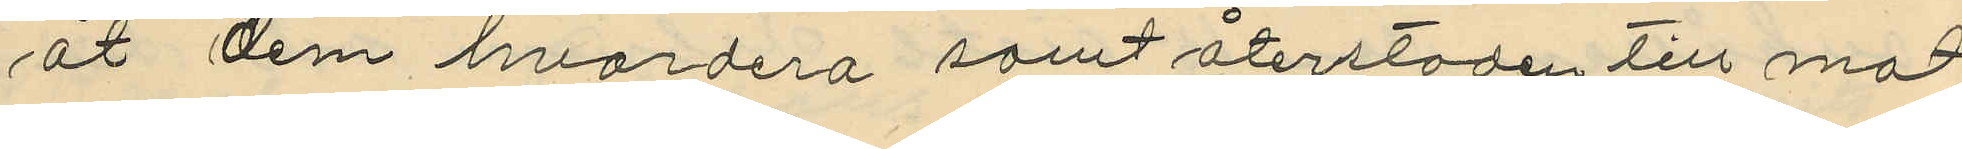åt dem hvardera samt återstoden till mat¬
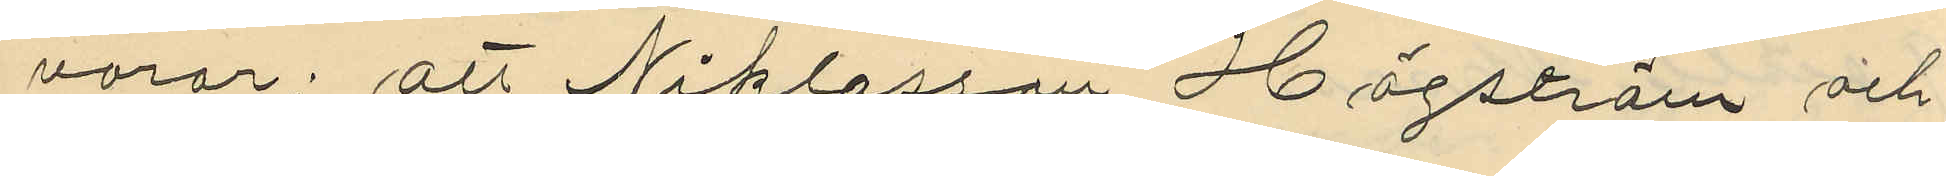varor; att Niklasson, Högström och
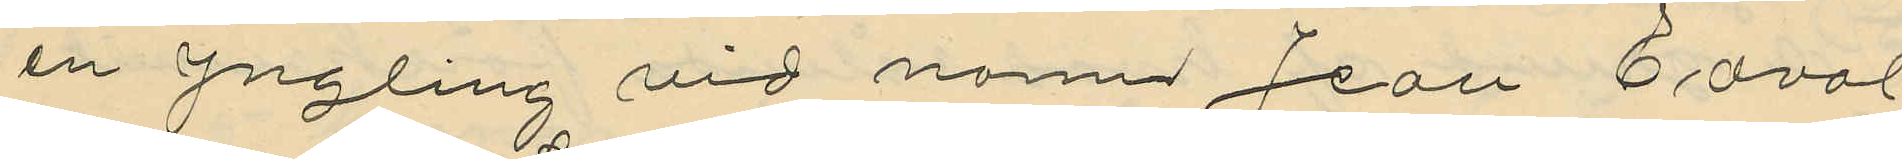en yngling vid nam Jean Edval
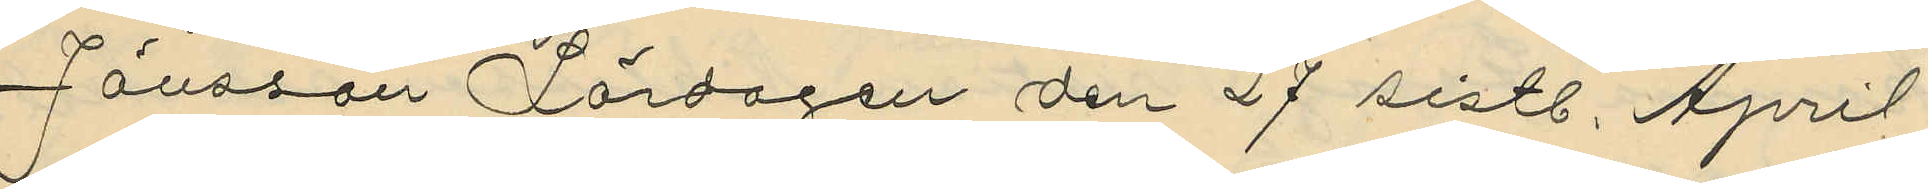Jönsson Lördagen den 27 sistl. April
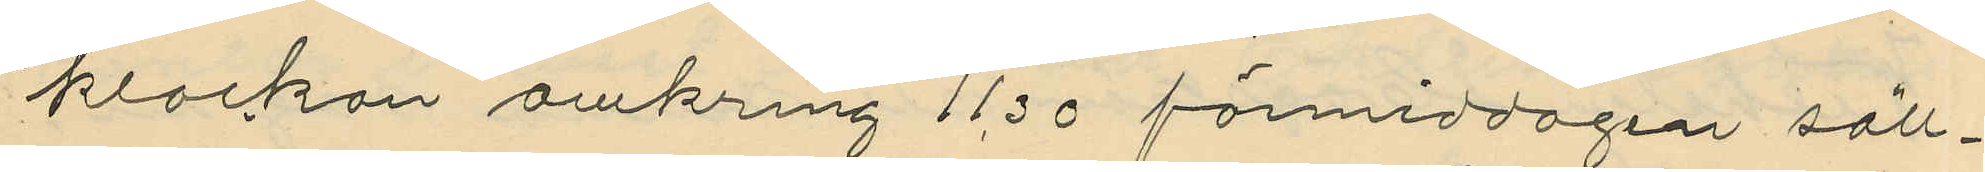klockan omkring 11,30 förmiddagen säll¬
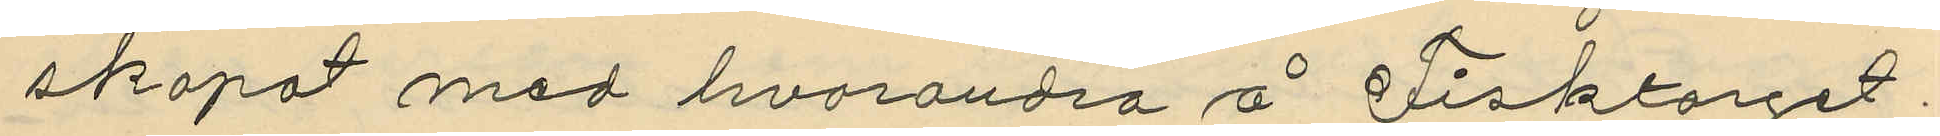skapat med hvarandra å Fisktorget
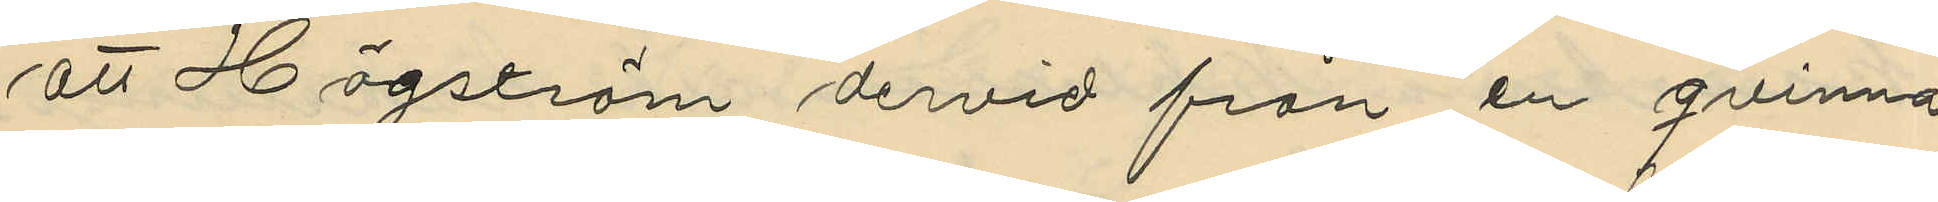att Högström dervid från en qvinna
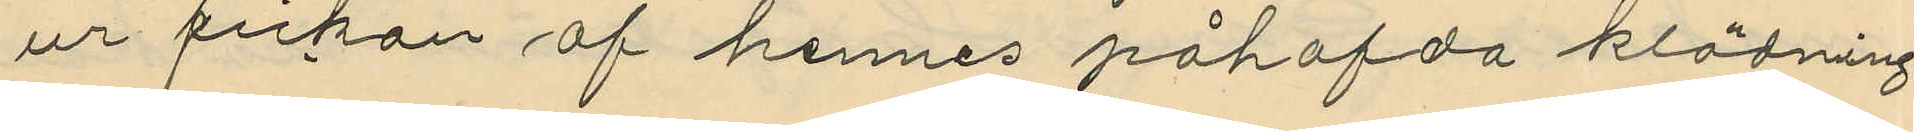ur fickan af hennes påhafda klädning
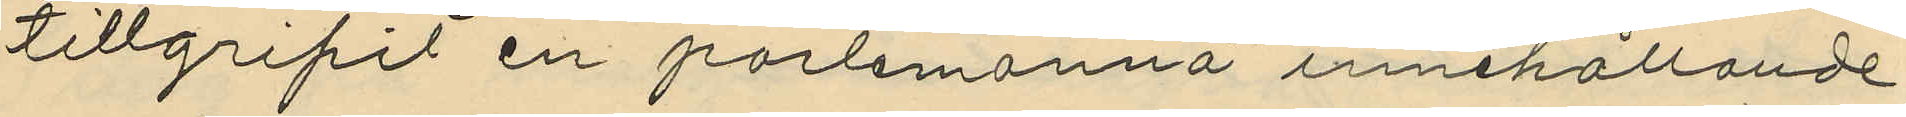tillgripit en portmonnä innehållande
